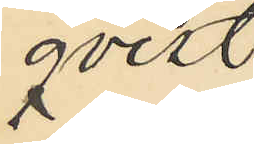qvist
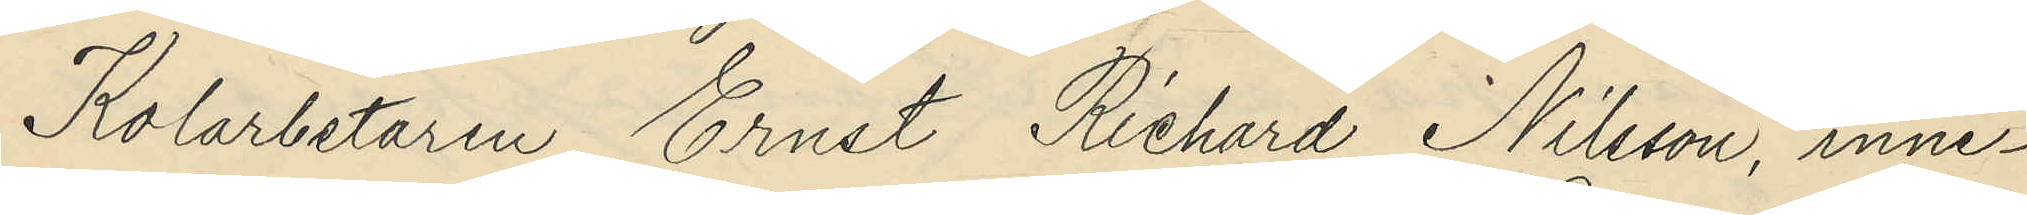Kolarbetaren Ernst Richard Nilsson, inne¬
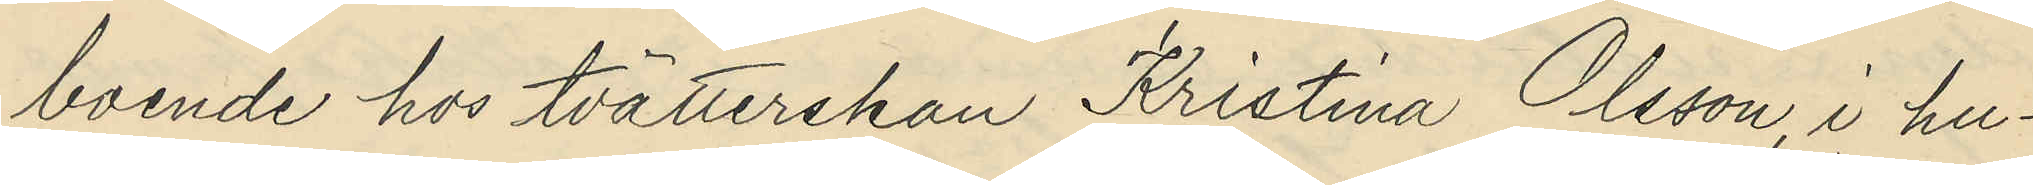boende hos tvätterskan Kristina Olsson, i hu¬
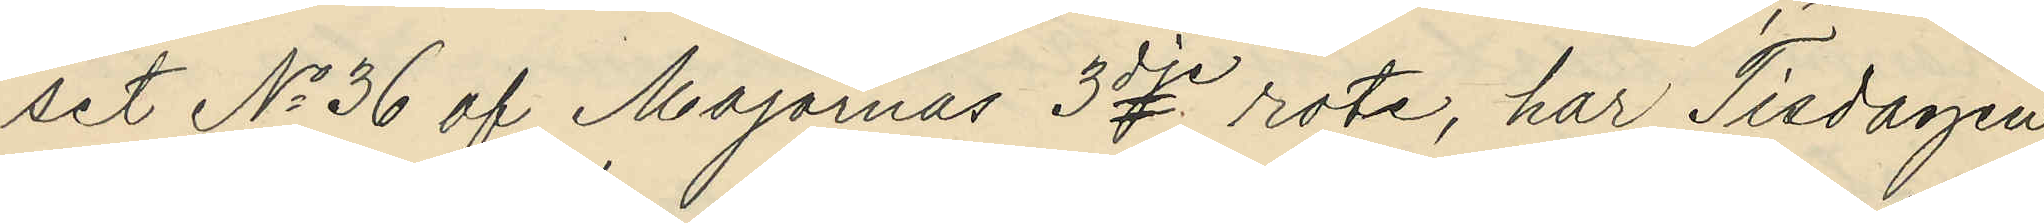set No 36 af Majornas 3dje rote, har Tisdagen
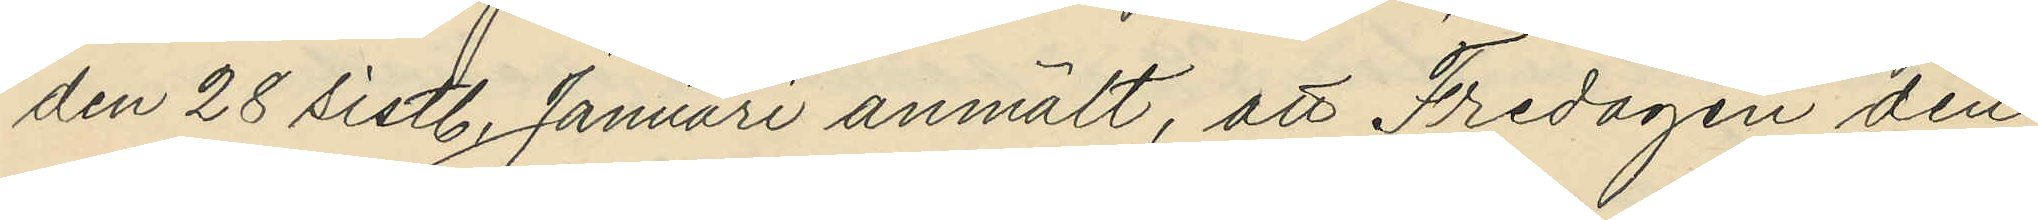den 28 sistl. Januari anmält, att Fredagen den
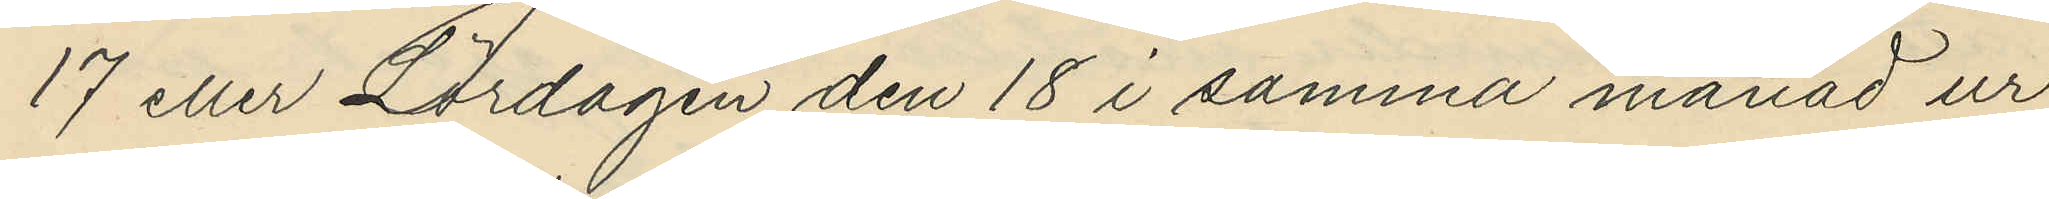17 eller Lördagen den 18 i samma månad ur
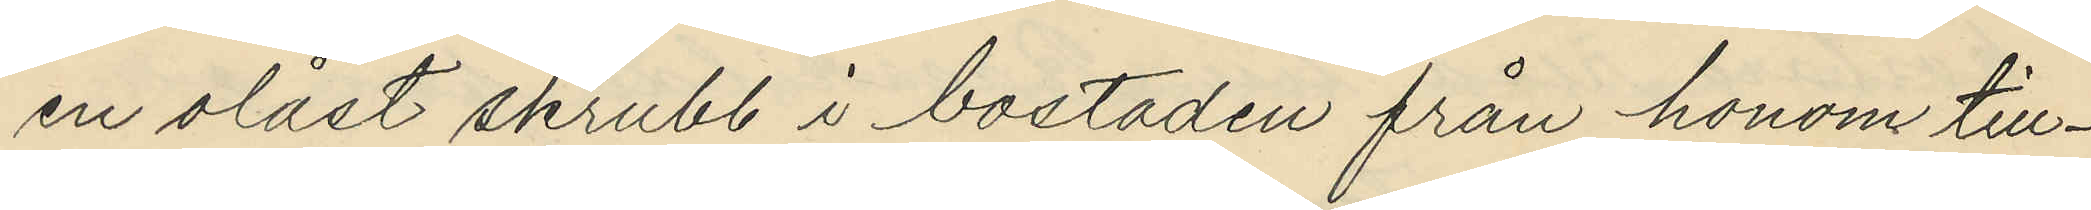en olåst skrubb i bostaden från honom till¬
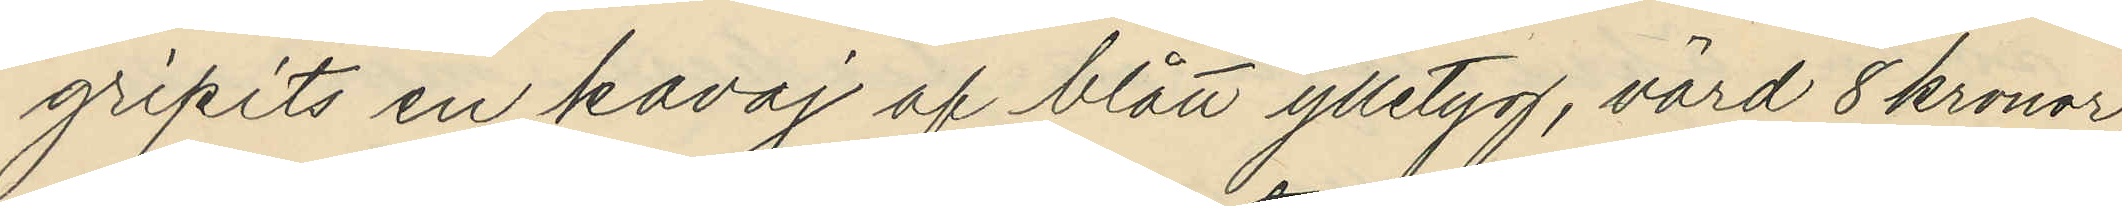gripits en kavaj af blått ylletyg, värd 8 kronor;
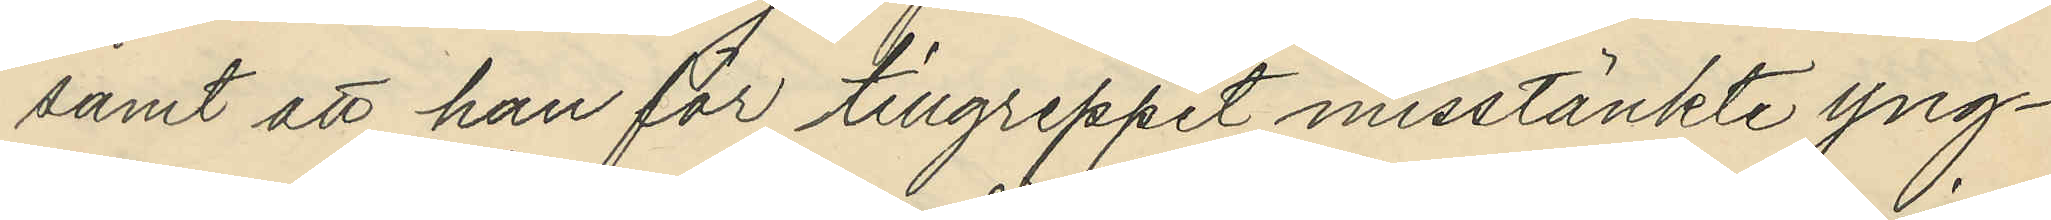samt att han för tillgreppet misstänkte yng¬
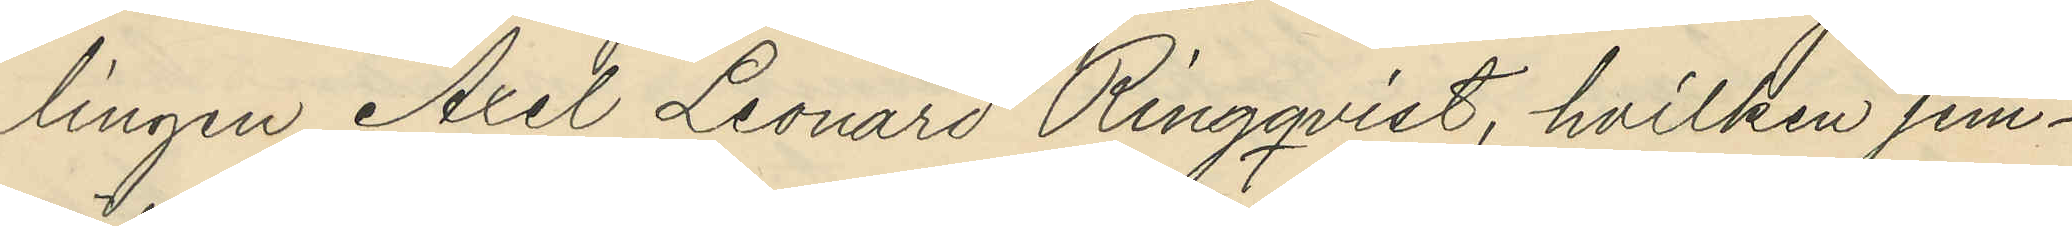lingen  Axel Leonard Ringqvist, hvilken jem¬
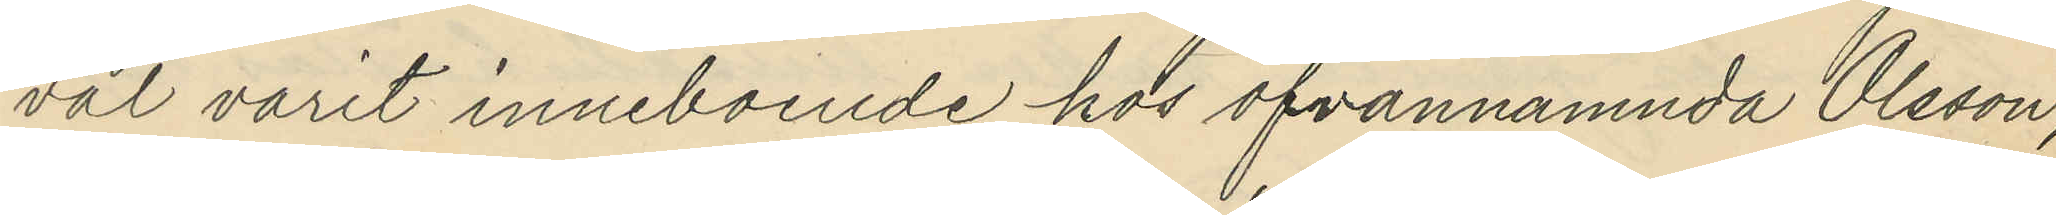väl varit inneboende hos ofvannämnda Olsson,
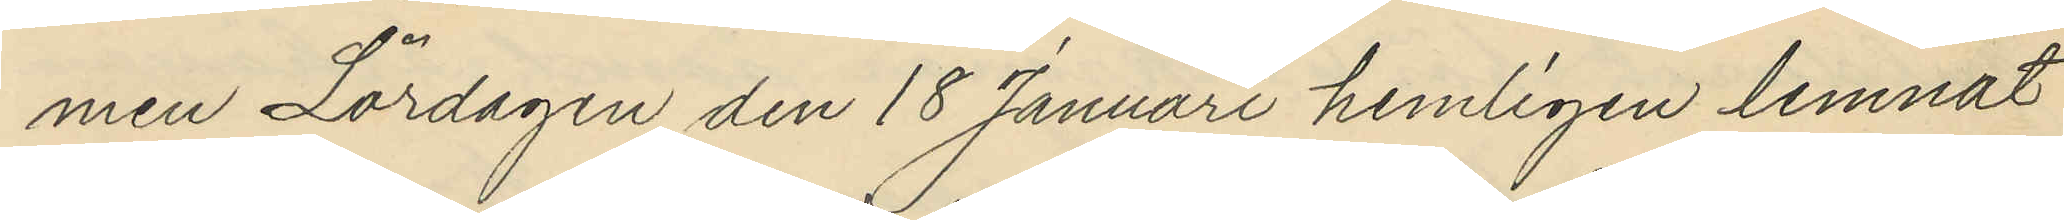men Lördagen den 18 Januari hemligen lemnat
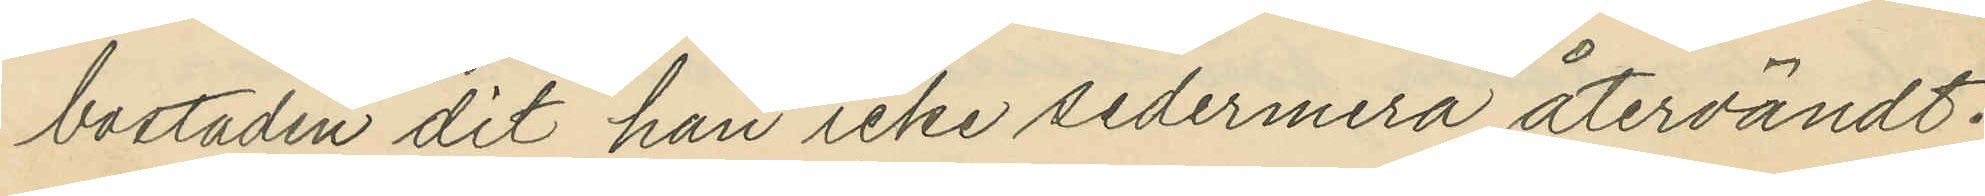bostaden dit han icke sedermera återvändt.
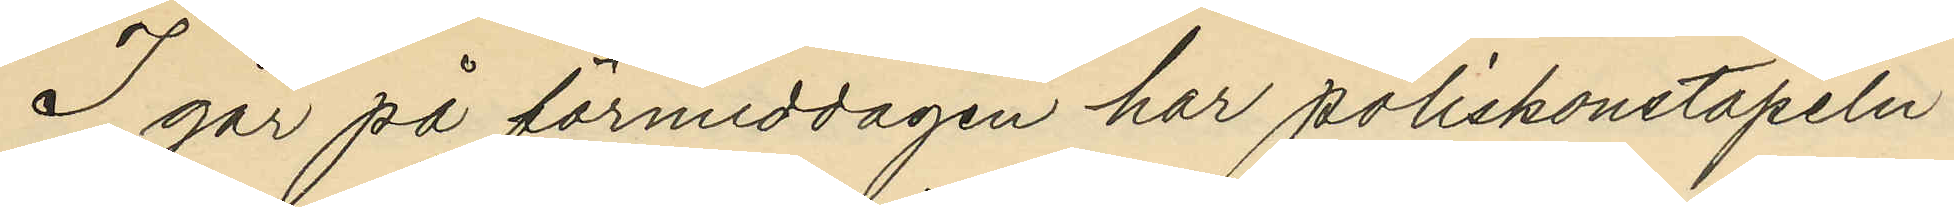I går på förmiddagen har poliskonstapeln
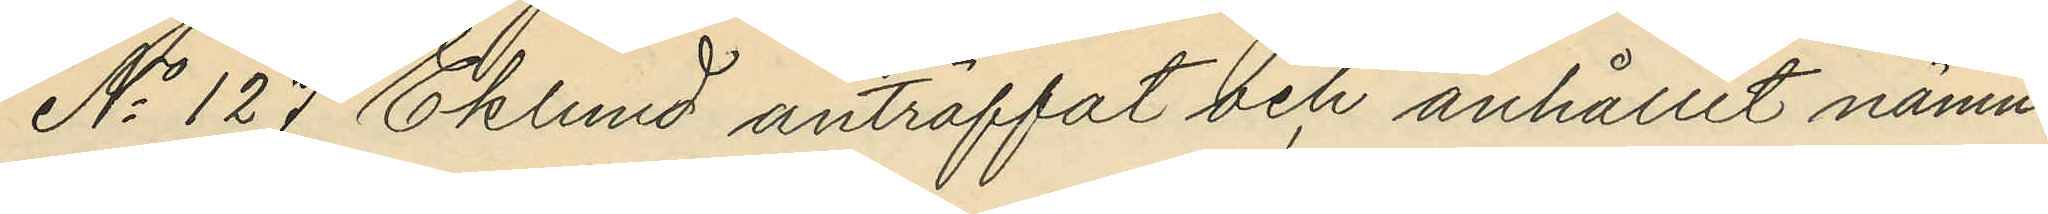No 127 Eklund anträffat och anhållit nämn¬
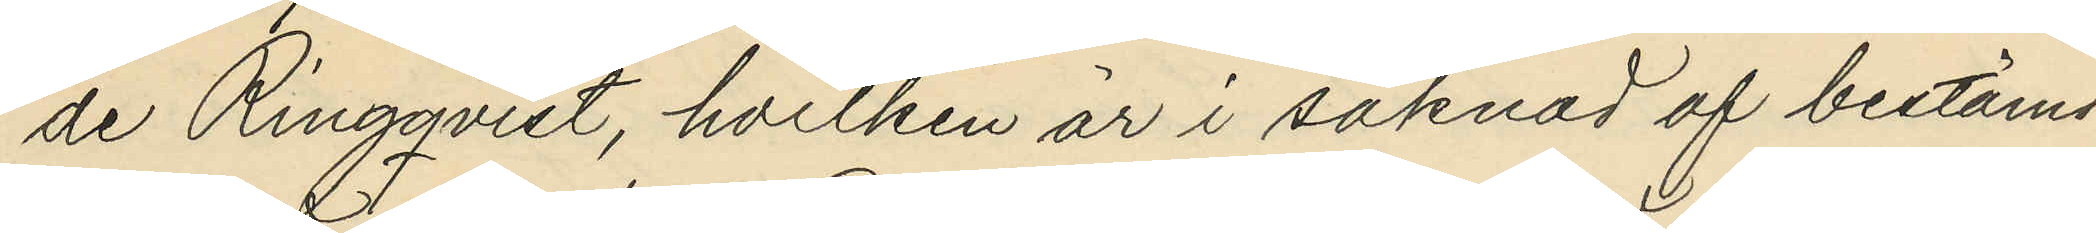de Ringqvist, hvilken är i saknad af bestämd
